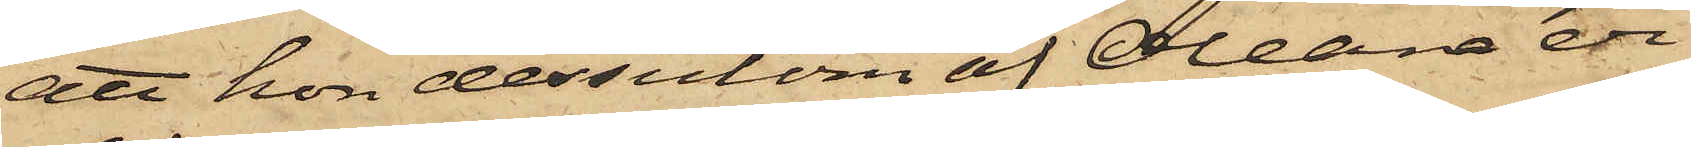att hon dessutom af Oleana er¬
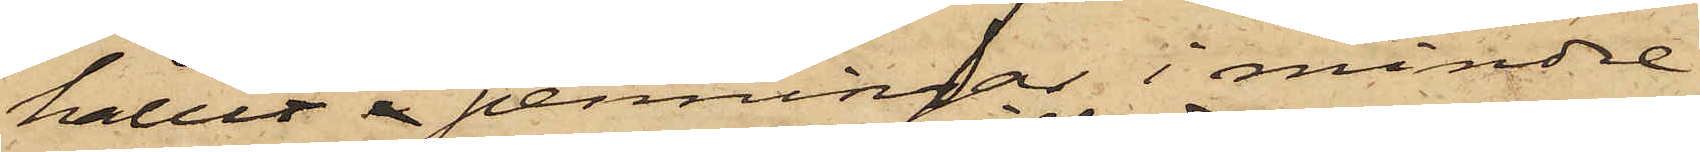hållit i penningar i mindre
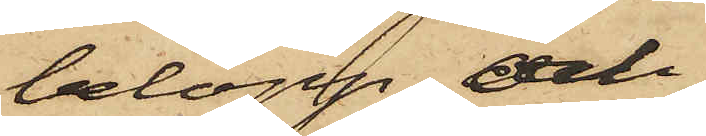belopp och
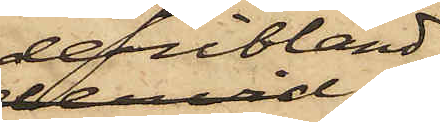deribland
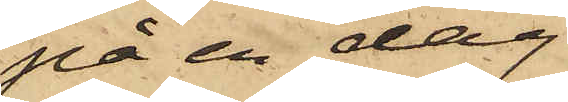på en dag
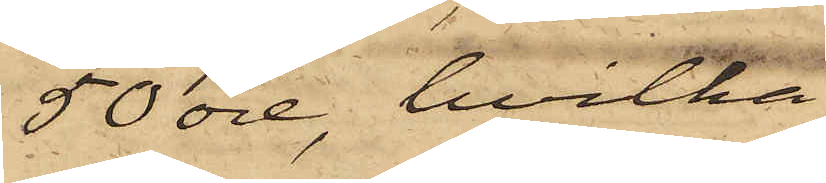50 öre, hvilka
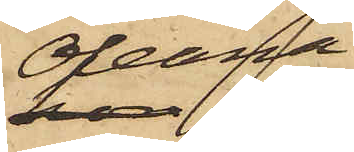Oleana
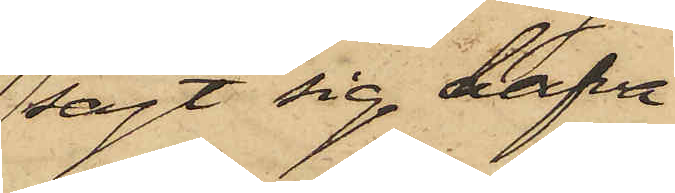sagt sig hafva
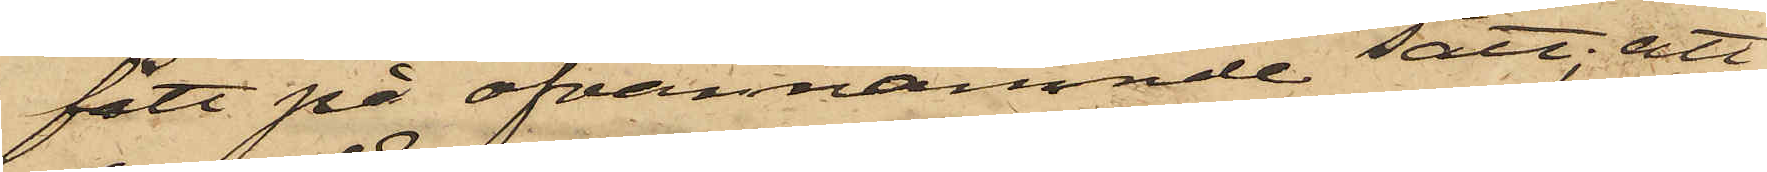fått på ofvannämnde sätt; att
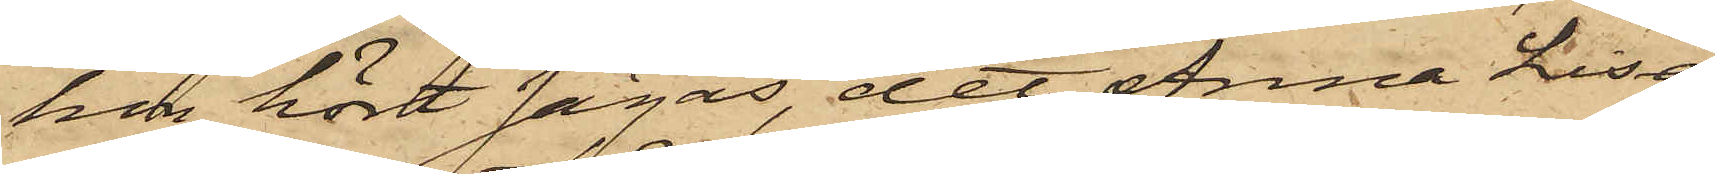hon hört sägas, det Anna Lisa
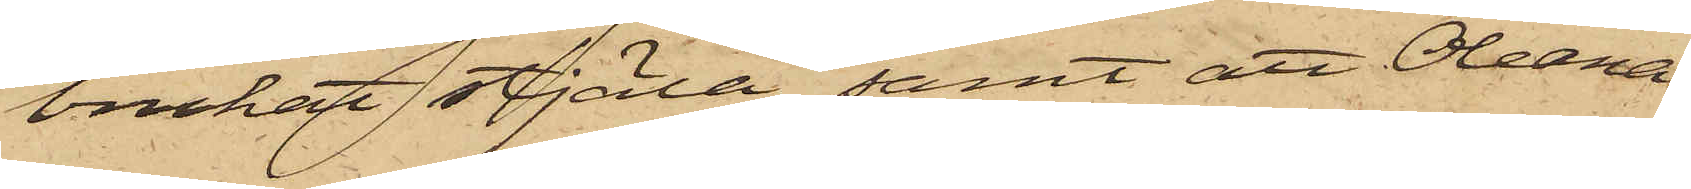brukat stjäla, samt att Oleana
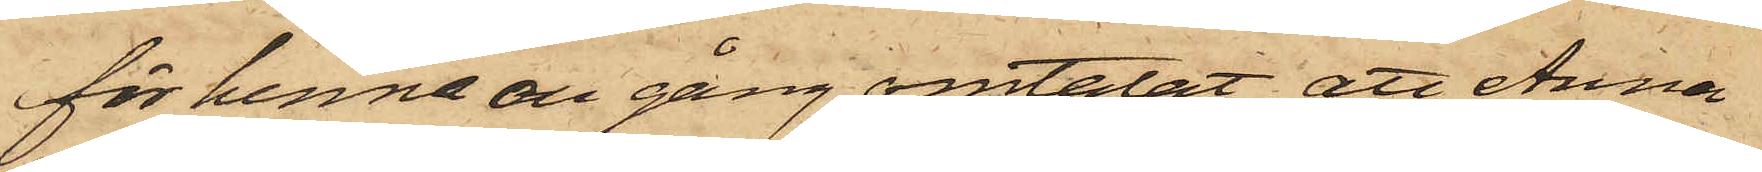för henne de gång omtalat, att Anna
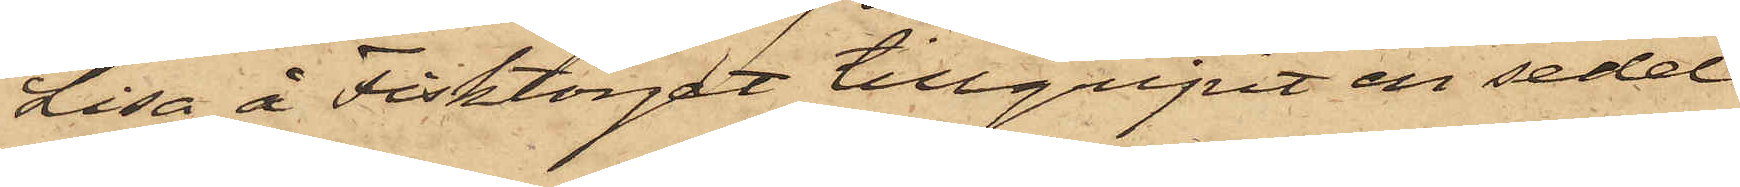Lisa å Fisktorget tillgripit en sedel
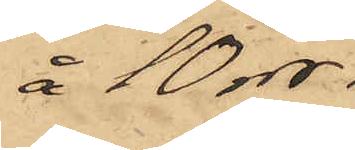å 10 rdr.
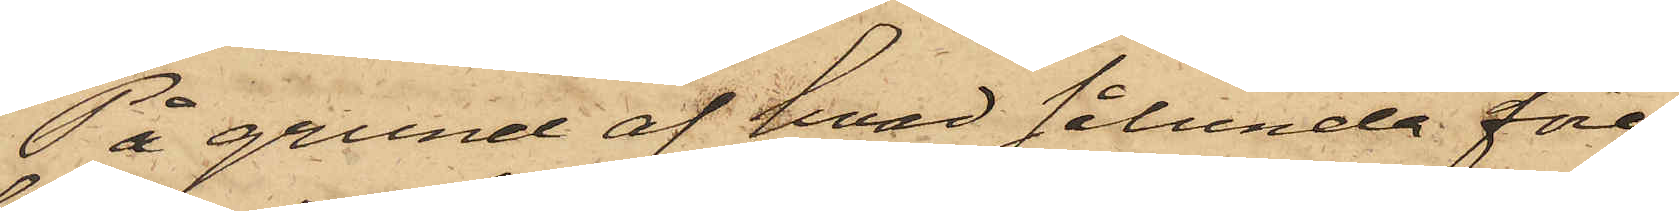På grund af hvad sålunda före¬
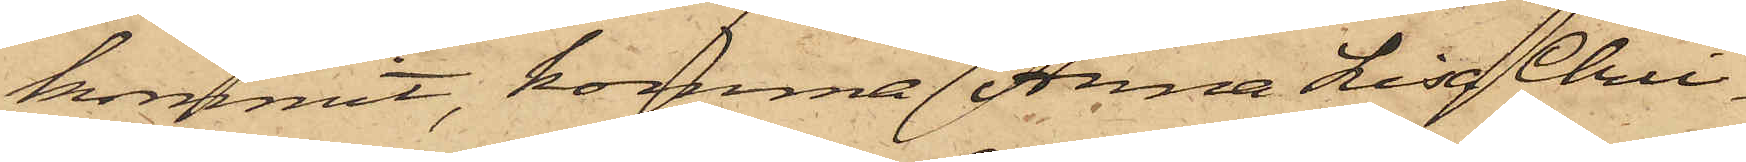kommit, komma Anna Lisa Chri¬
